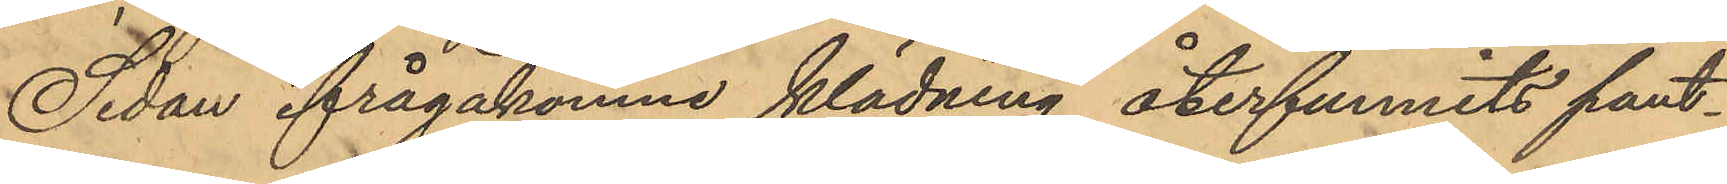Sedan ifrågakomne klädning återfunnits pant¬
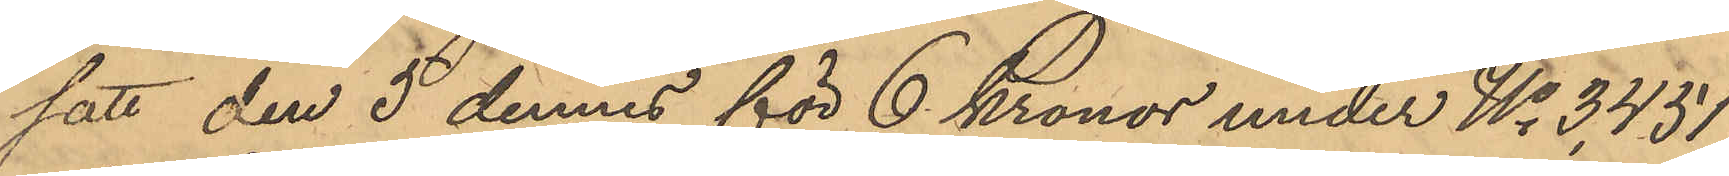satt den 5 dennes för 6 Kronor under No 3451
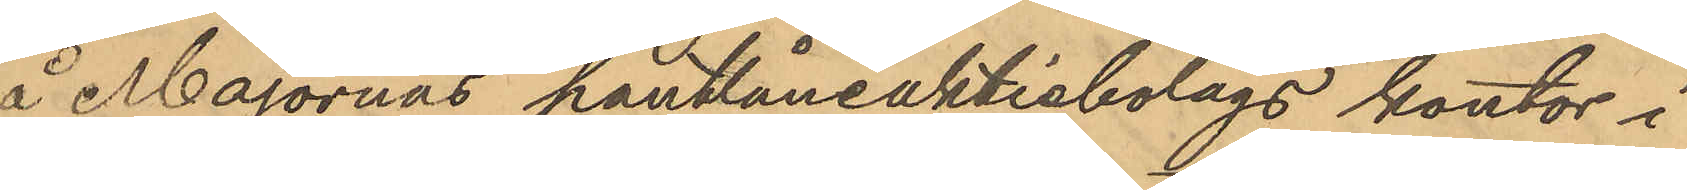å Majornas pantlåneaktiobolags kontor i
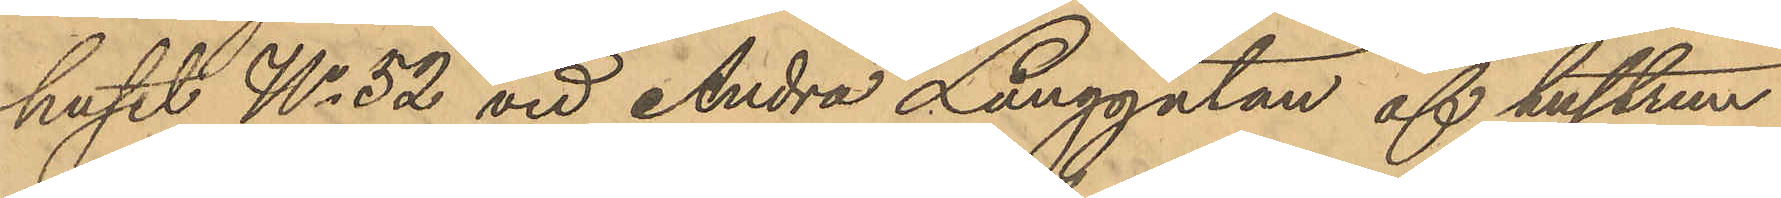huset No 52 vid Andra Långgatan af hustrun
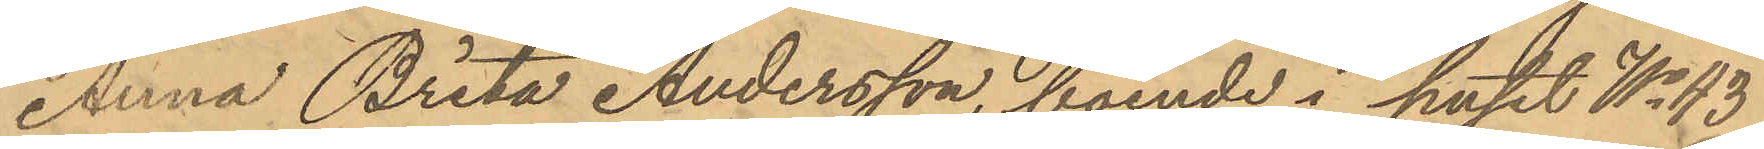Anna Brita Andersson, boende i huset No 43
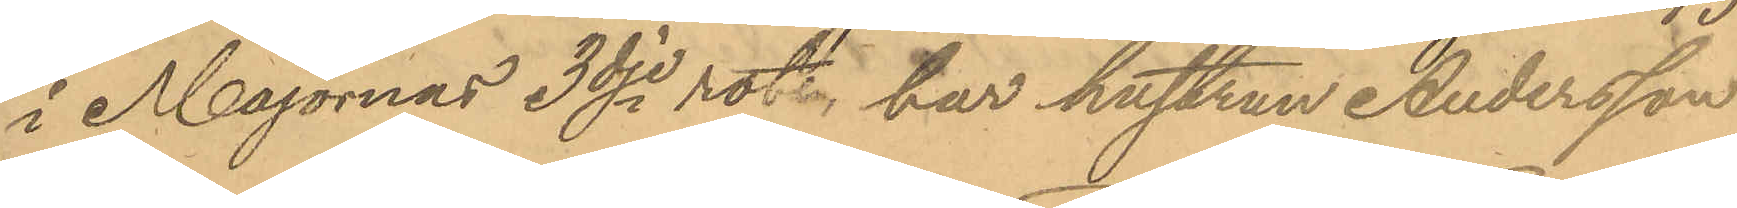i Majornas 3dje rote, har hustrun Andersson
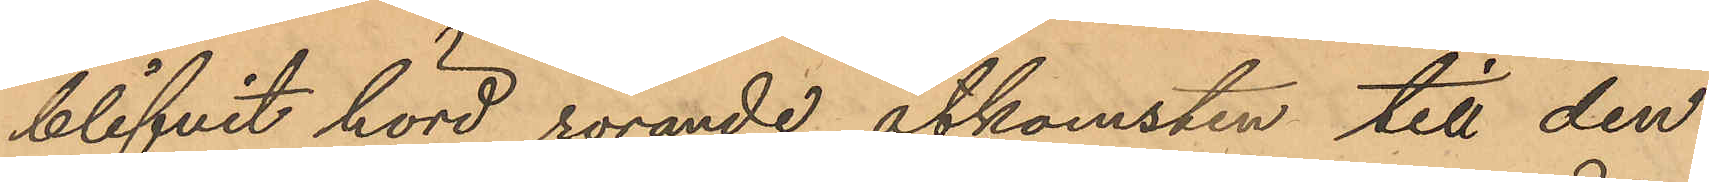blifvit hörd rörande åtkomsten till den
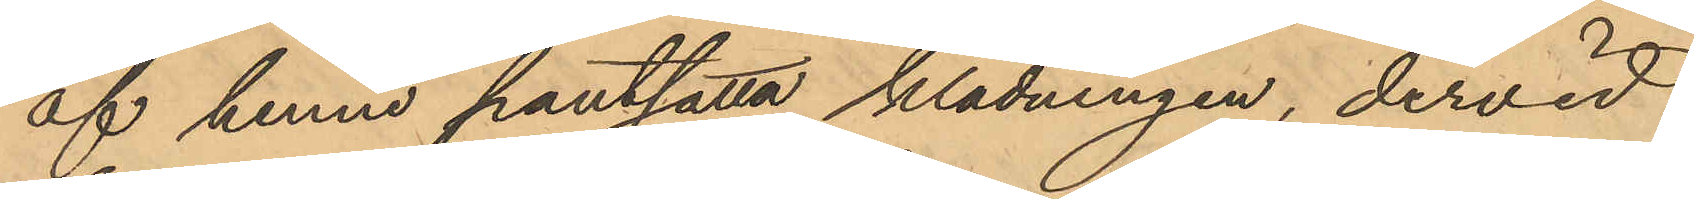af henne pantsatta klädningen, dervid
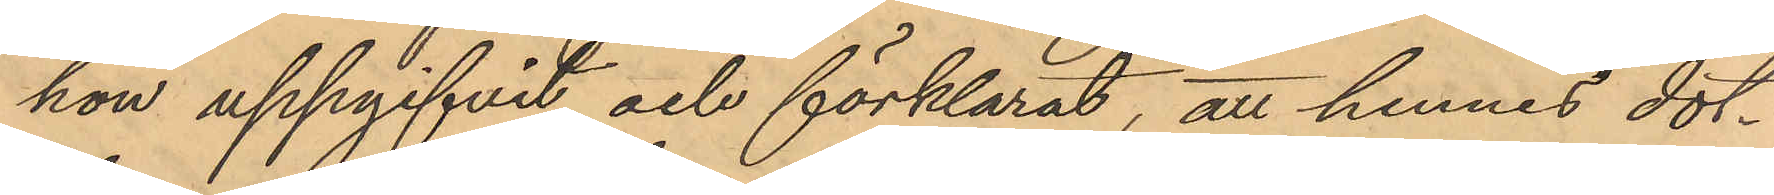hon uppgifvit och förklarat, att hennes dot¬
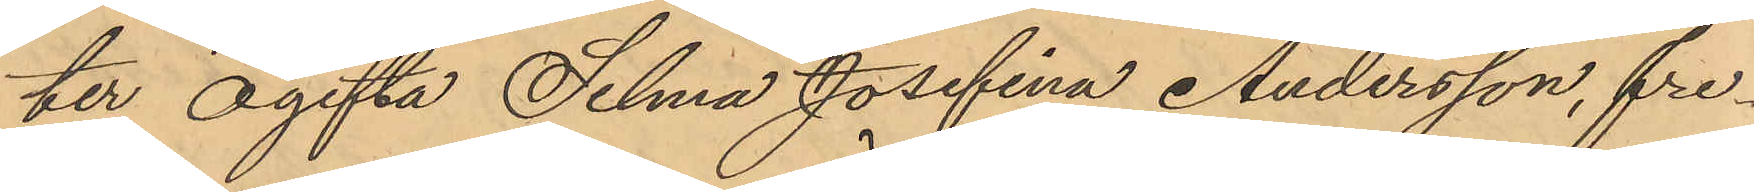ter ogifta Selma Josefina Andersson, fre¬
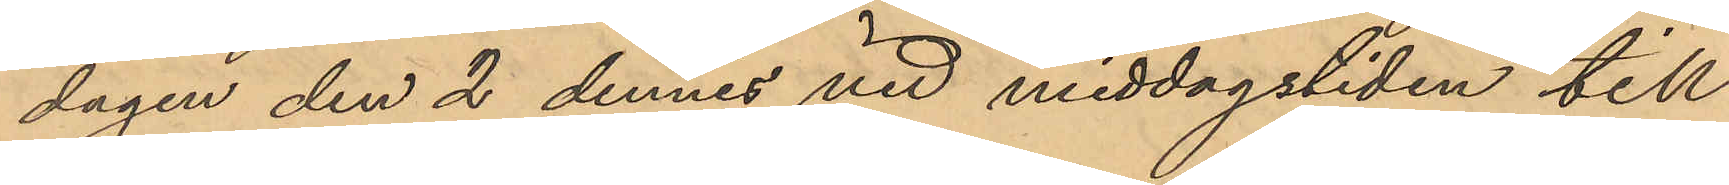dagen den 2 dennes vid middagstiden till
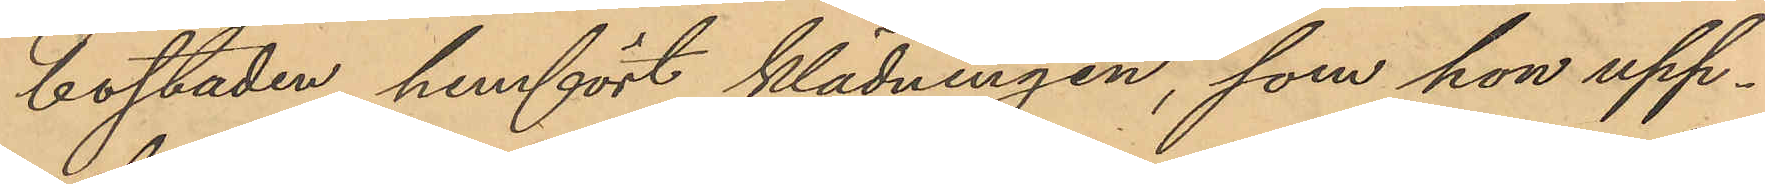bostaden hemfört klädningen, som hon upp¬
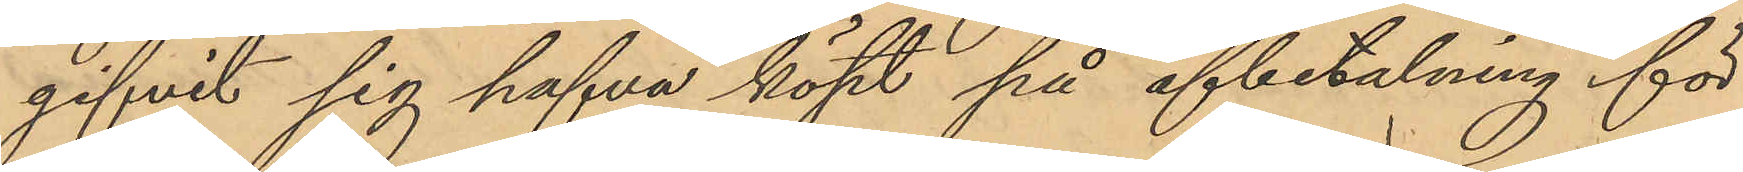gifvit sig hafva köpt på afbetalning för
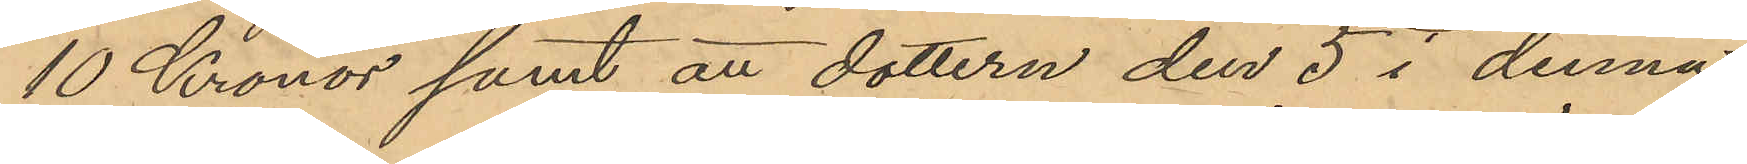10 Kronor samt att dottern den 5 i denna
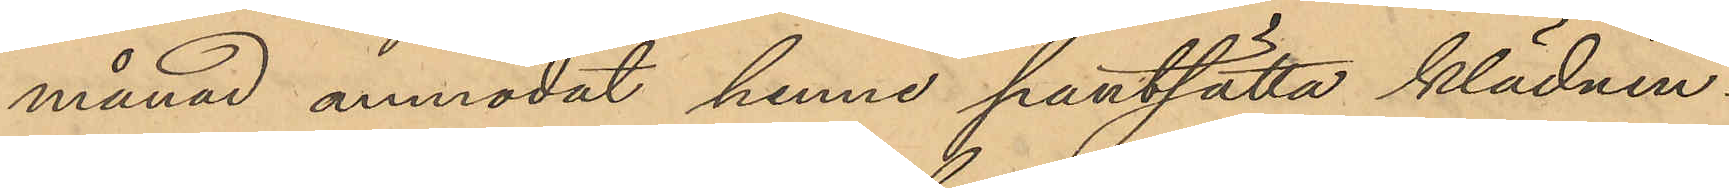månad anmodat henne pantsätta klädnin¬
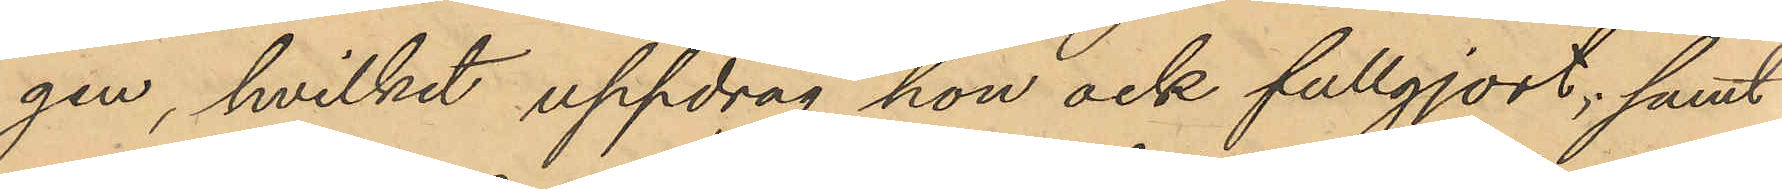gen, hvilket uppdrag hon ock fullgjort; samt
